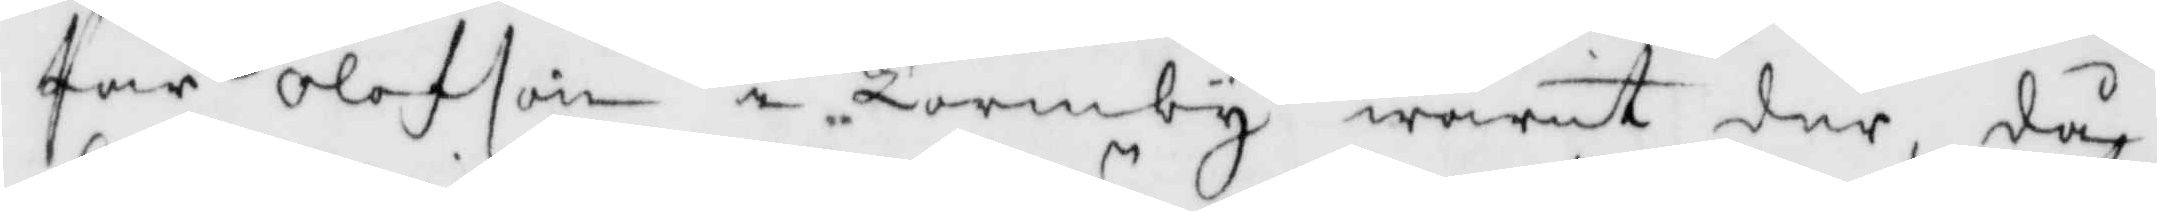Pär Olofson i Tormby warit der, då
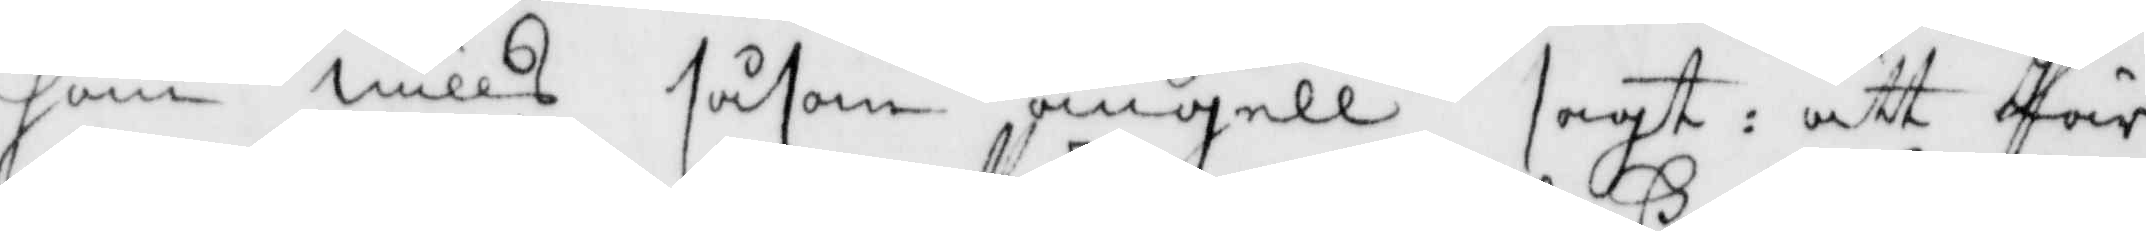ham Nills såsom ängell sagt: att Pär
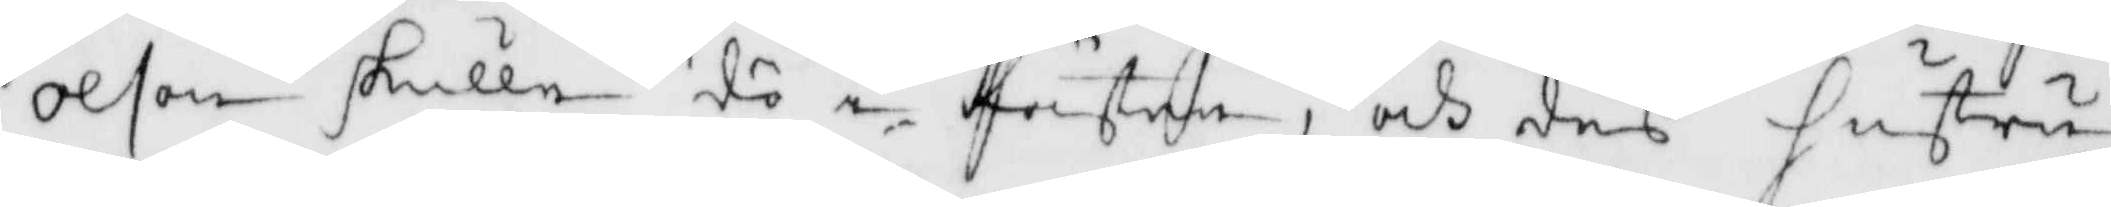Olson skulle dö i Pästen, och des hustru
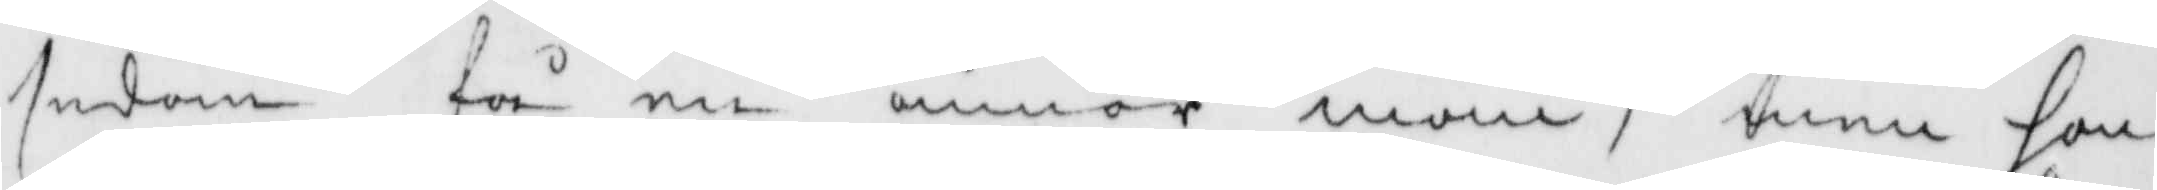sedan få en annor man, men hon
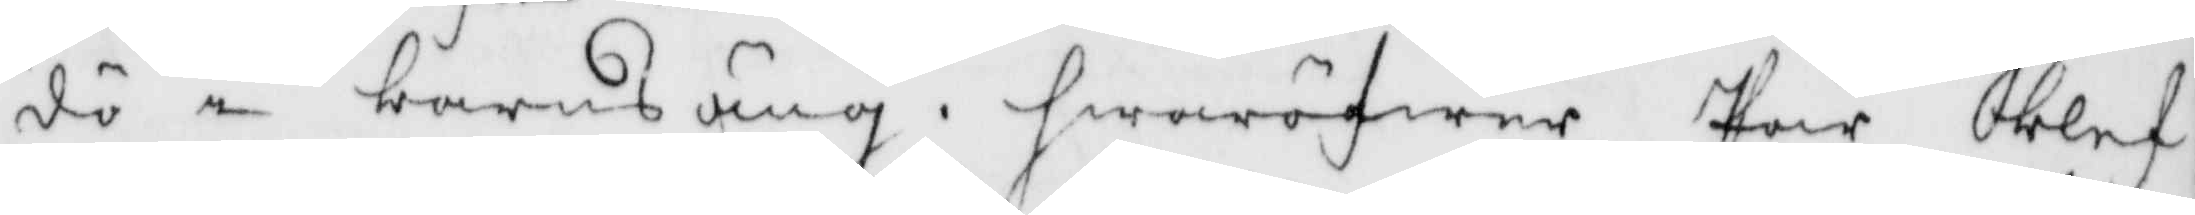dö i barnsäng, hwaröfwer Per blef¬
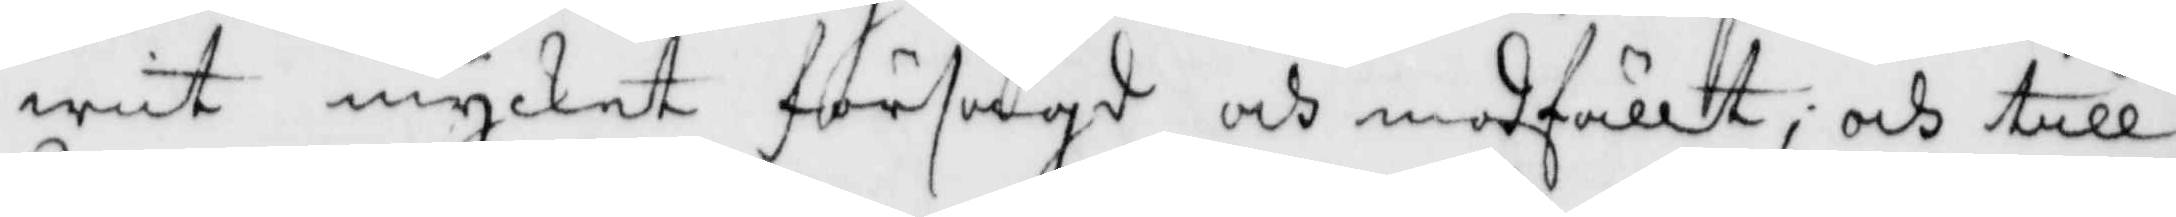wit mycket försagd och modfällt, och till
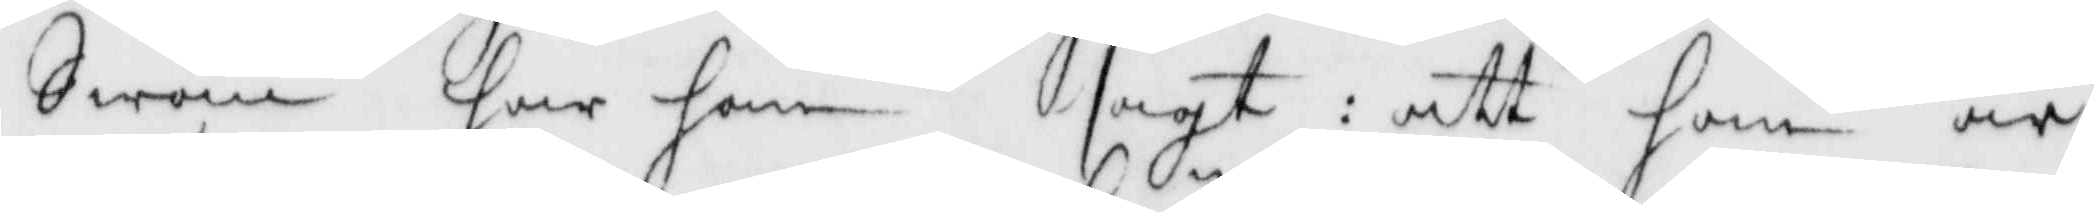Swän har han sagt: att ham är
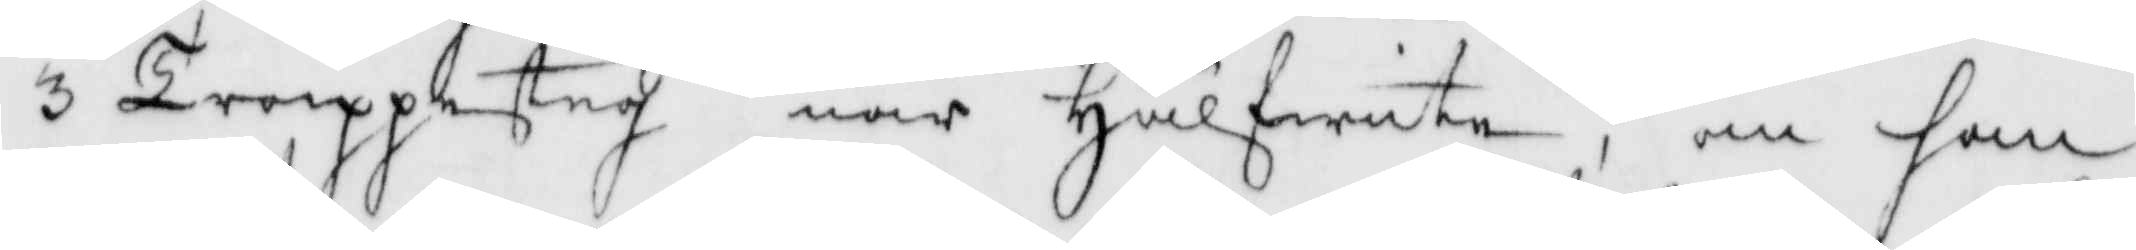3 Troppesteg när Hälfwite, om han
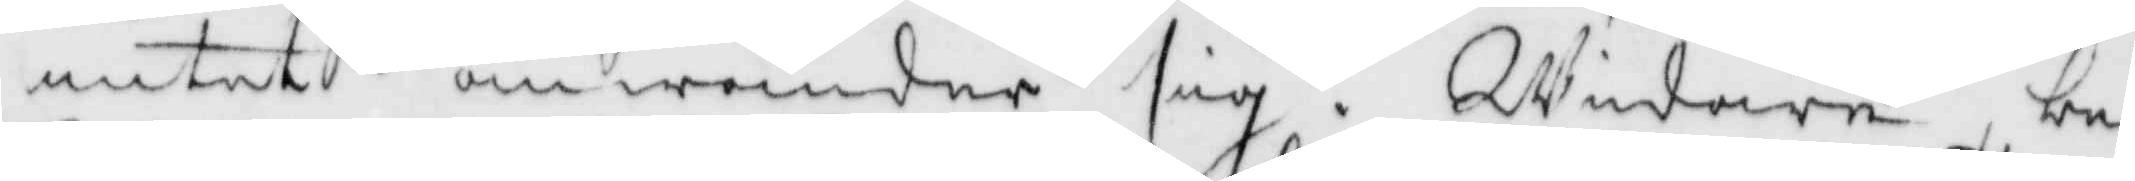intet omwänder sig. Widare, be¬
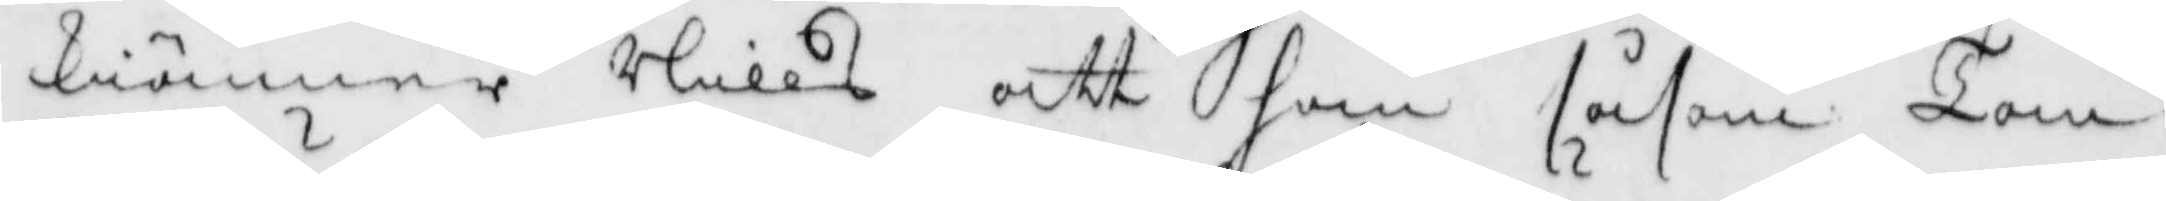kiänner Nills att han såsom Tom¬
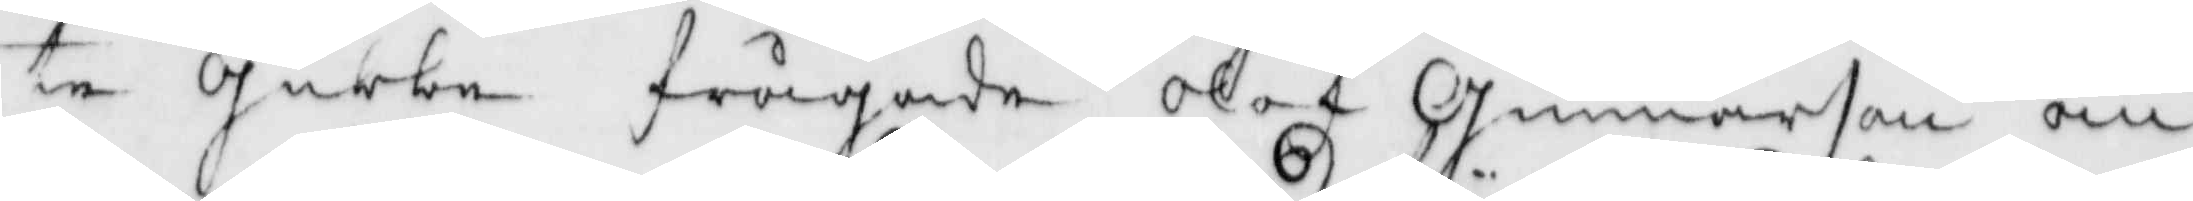te gubbe frågade Olof Gunnarson om
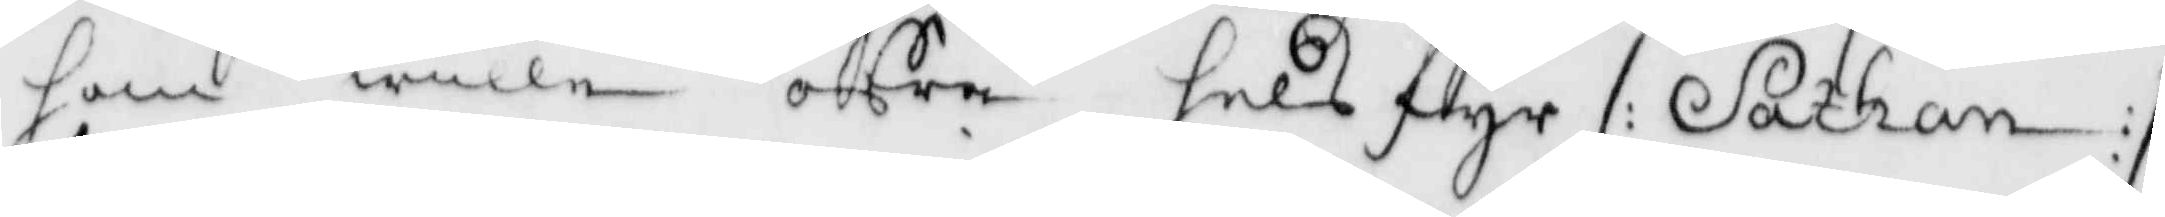som wille ofra hels fyr /: Sathan :/
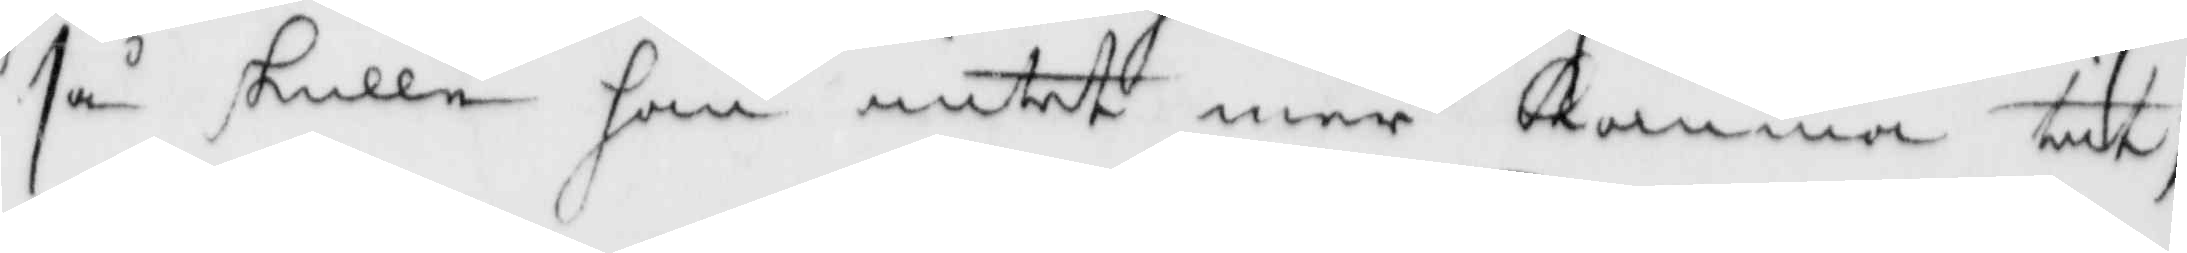så skulle han intet mer komma tit;
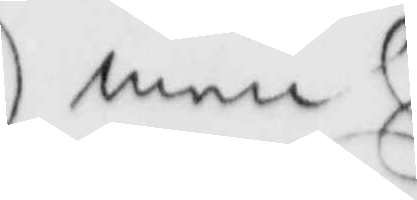men
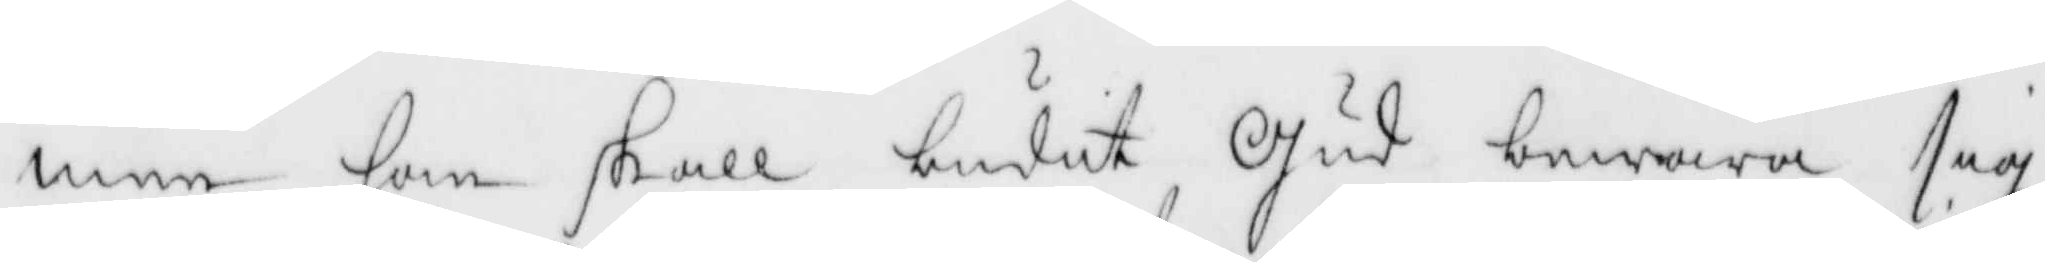men han skall budit Gud bewara sig
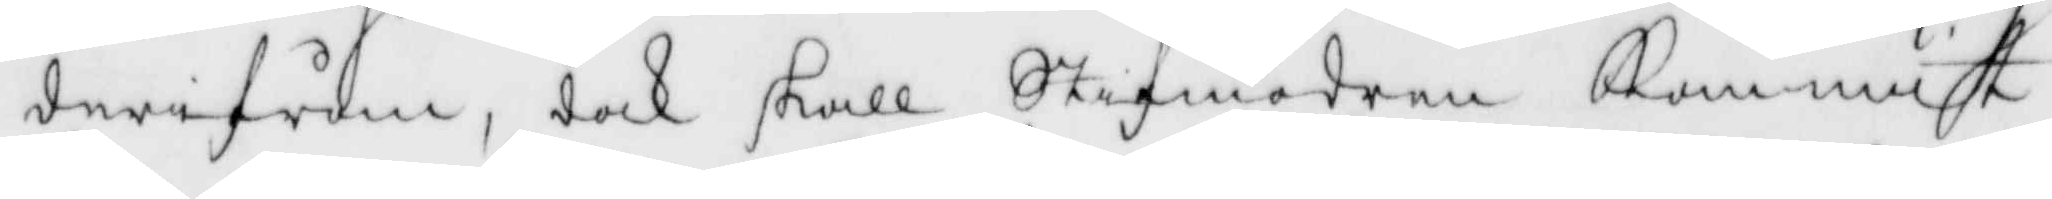derifrån, dock skall Stifmodren Kommit
